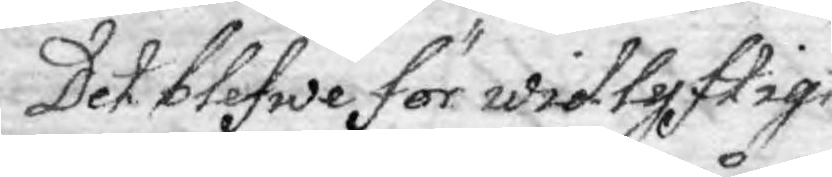Det blefwe för widtyftigt
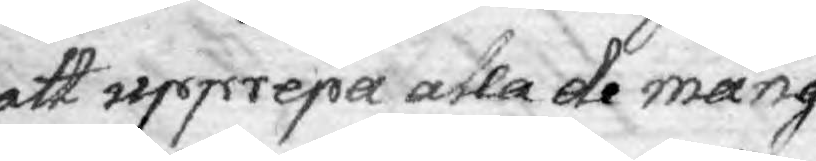att upprepa alla de mång¬
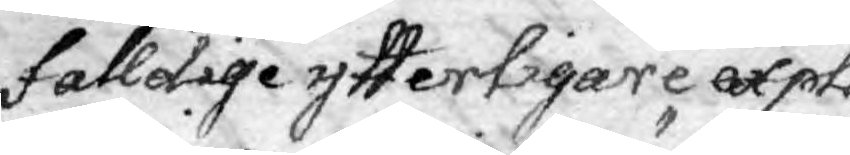falldige ytterligare expli¬
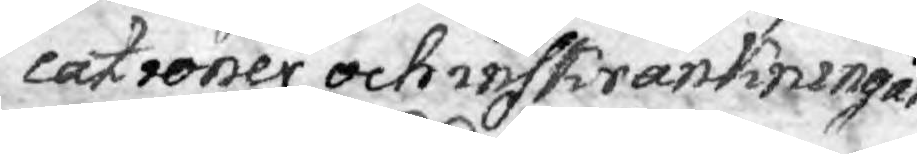cationer och inskränkningar
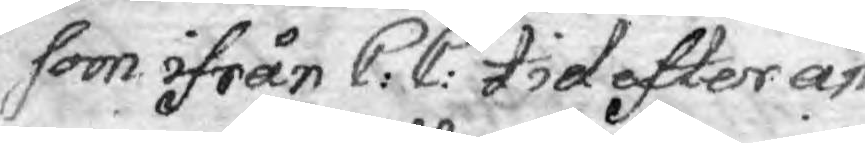som ifrån C:C: tid efter an¬
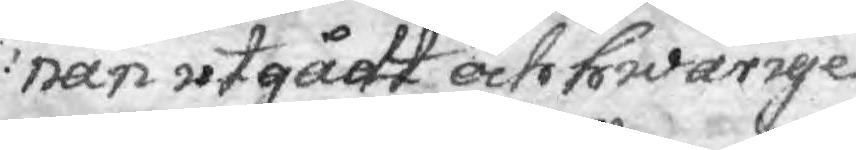nan utgådt och hwarige¬
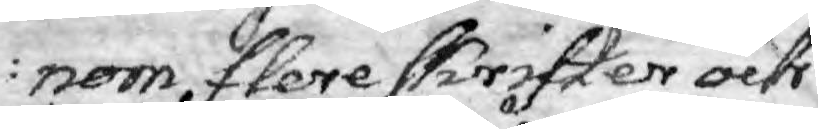nom flere skrifter och
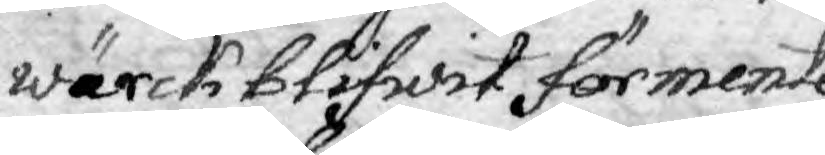wärck blifwit förmente
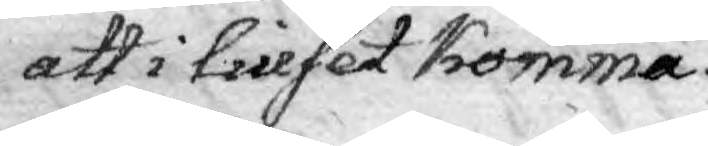att i liuset komma.
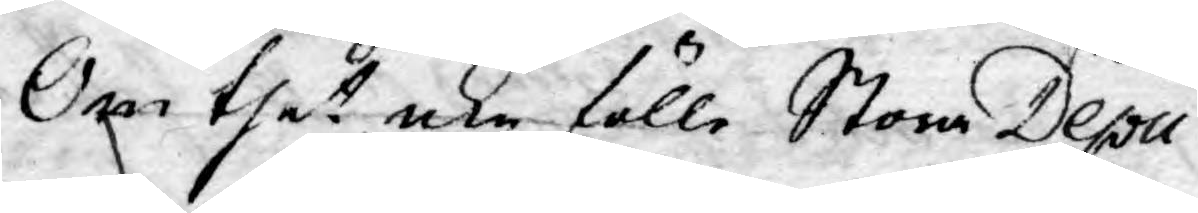Om thet icke fälle Stora Depu¬
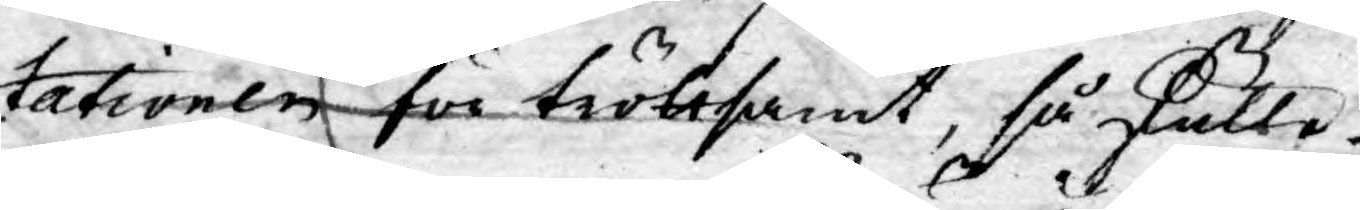tationen för tröttsamt, så skulle
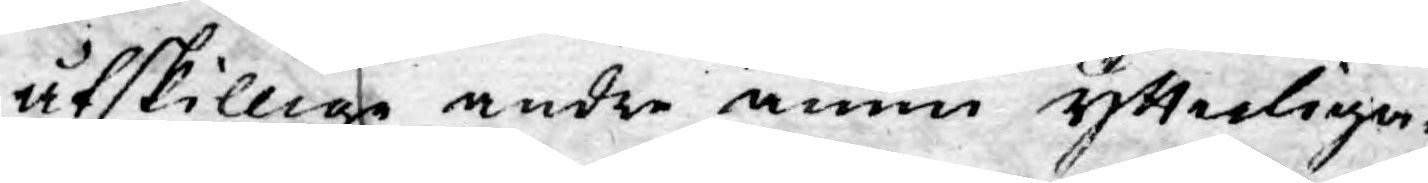åtskillige andre ännu ytterliga¬.
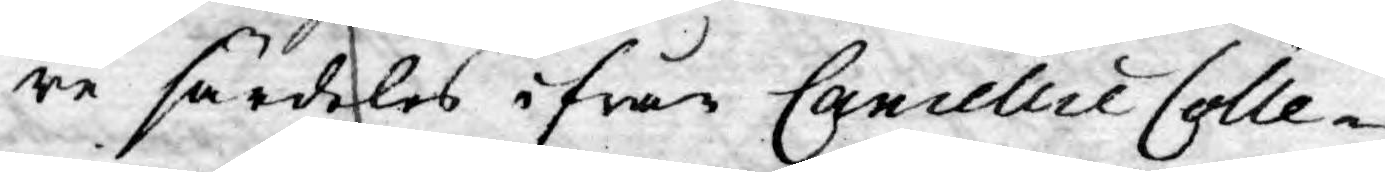re särdeles ifrån Cancellie Colle¬
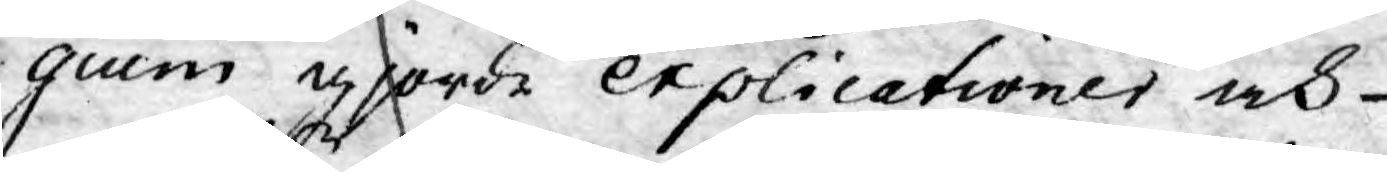gium gjorde explicationer och
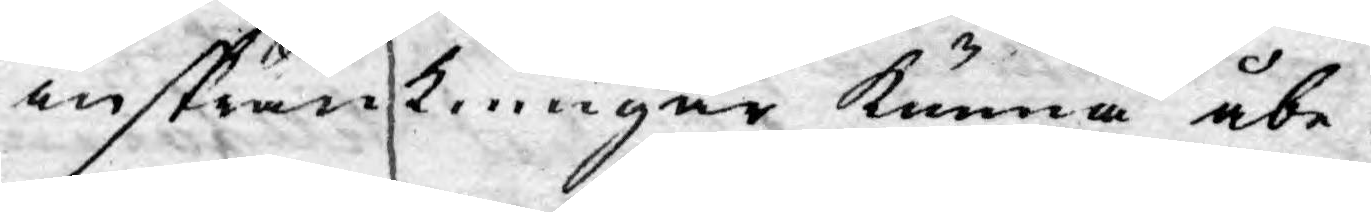inskränkningar kunna åbe¬
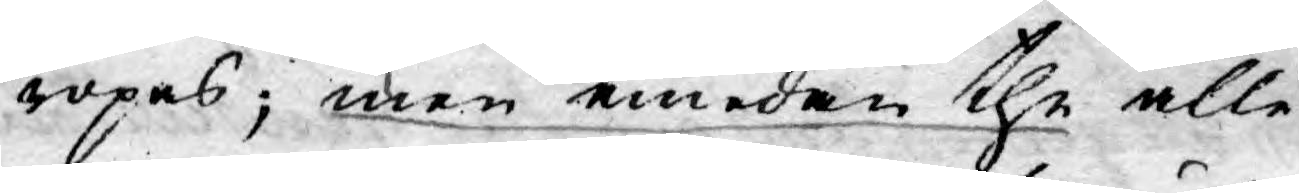ropas; men emedan the alle¬
